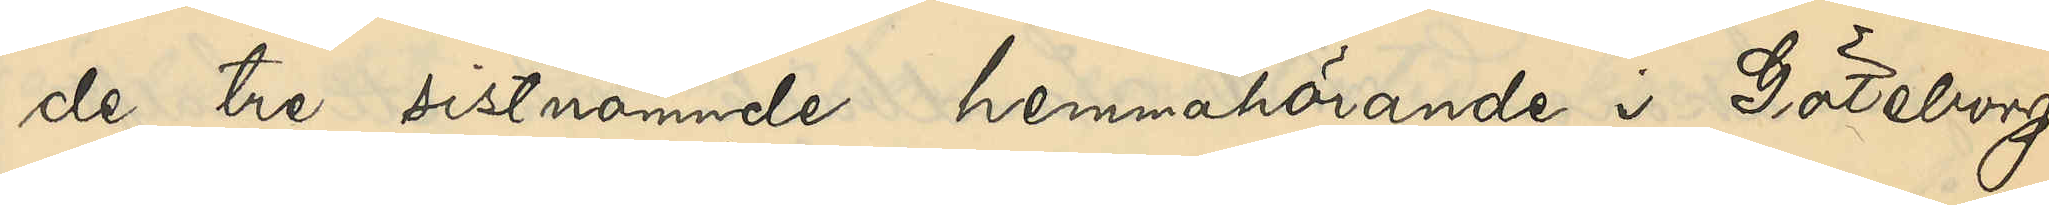de tre sistnämnde hemmahörande i Göteborg.
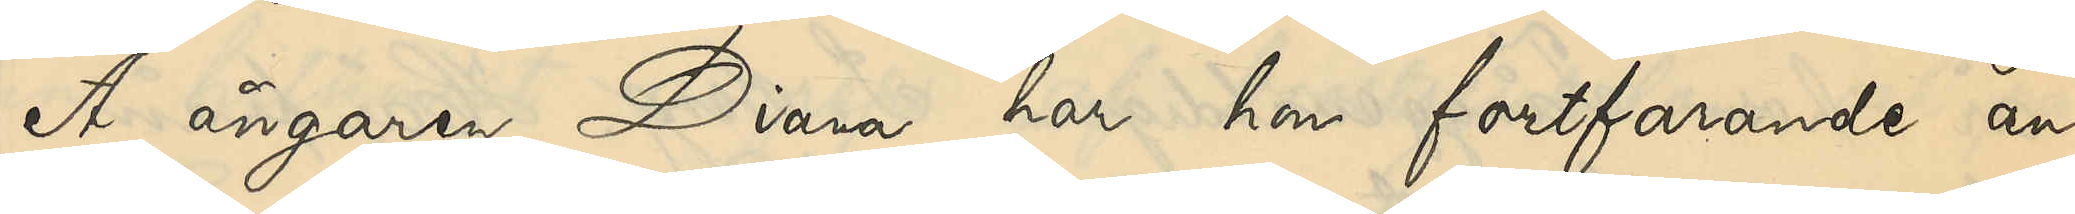Å ångaren Diana har hon fortfarande an¬
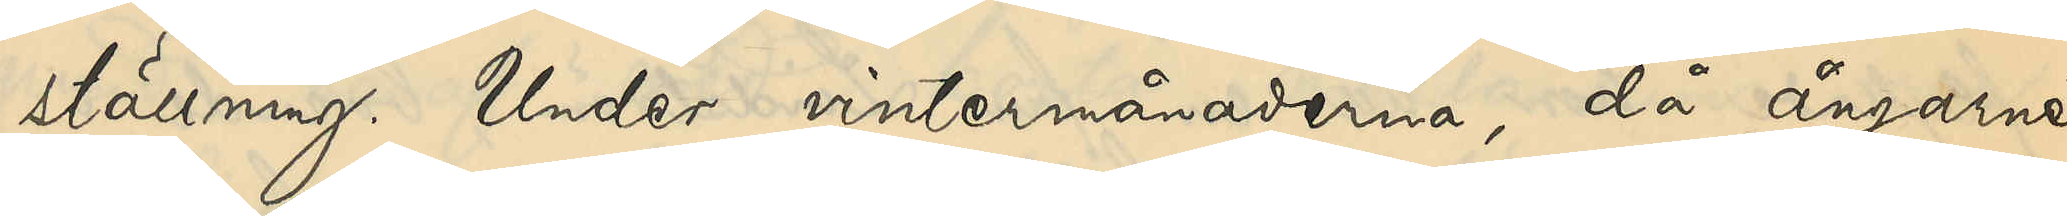ställning. Under vintermånaderna, då ångarne
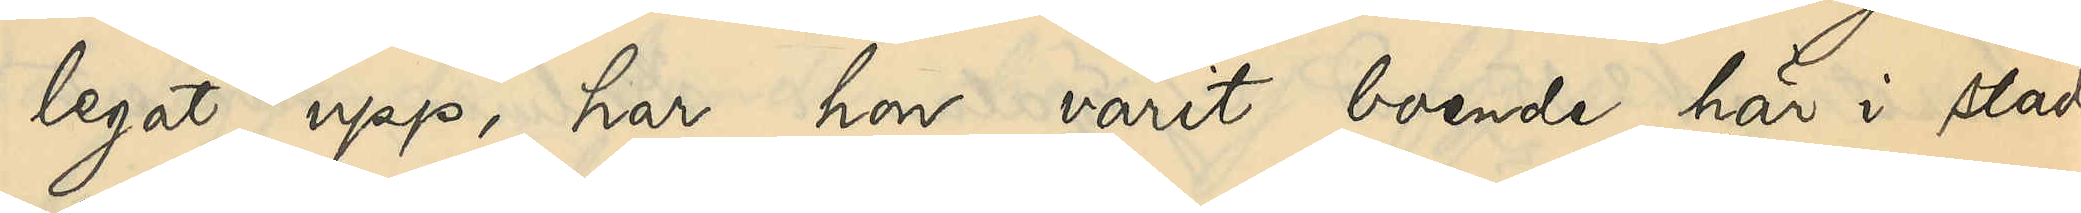legat upp, har hon varit boende här i staden
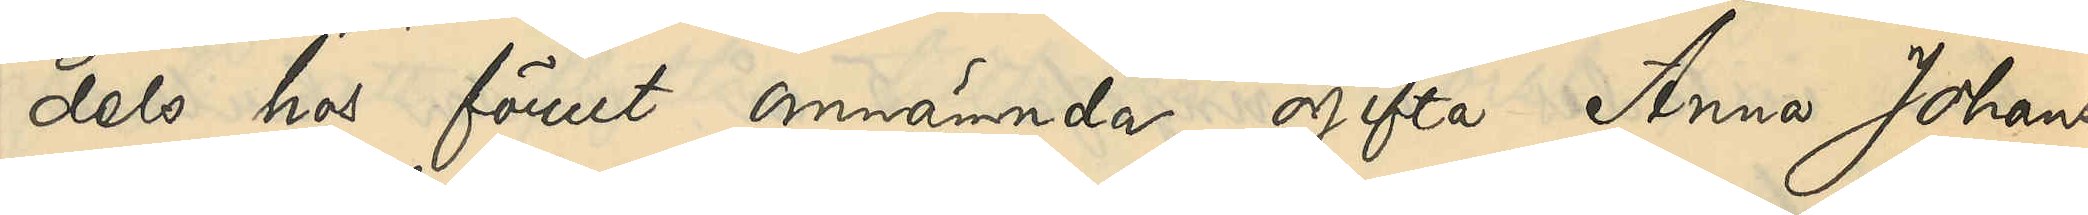dels hos förut omnämnde ogifta Anna Johans¬
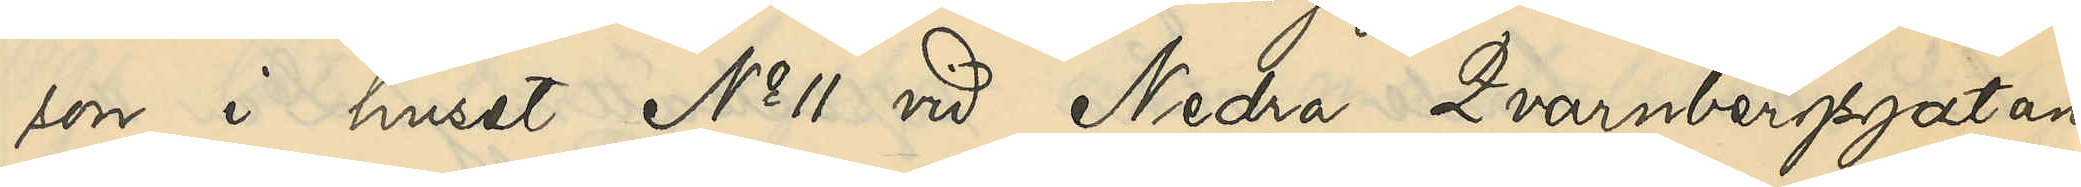son i huset No 11 vid Nedra Qvarnbergsgatan
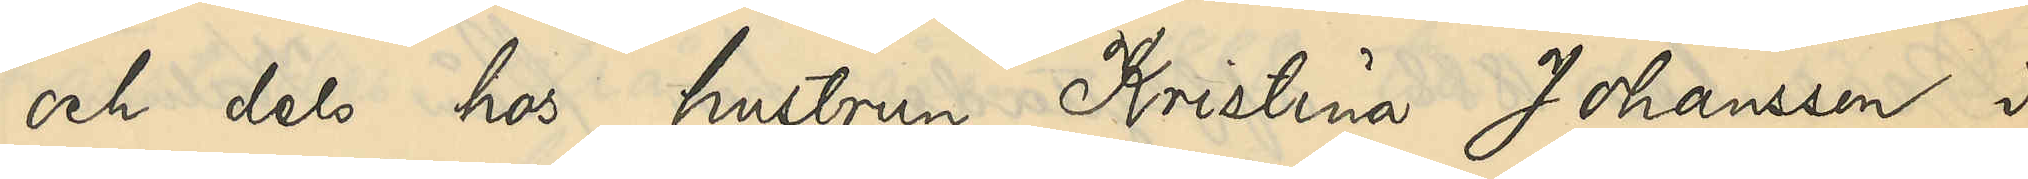och dels hos hustrun Kristina Johansson i
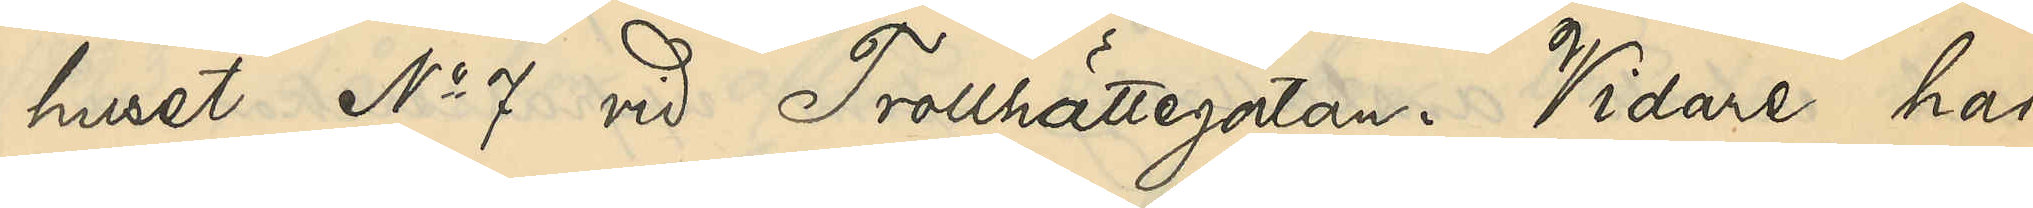huset No 7 vid Trollhättegatan. Vidare har
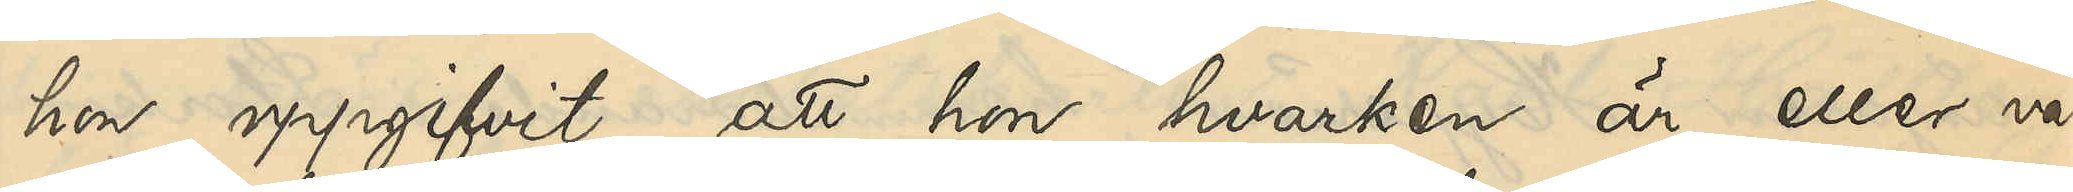hon uppgifvit, att hon hvarken är eller va¬
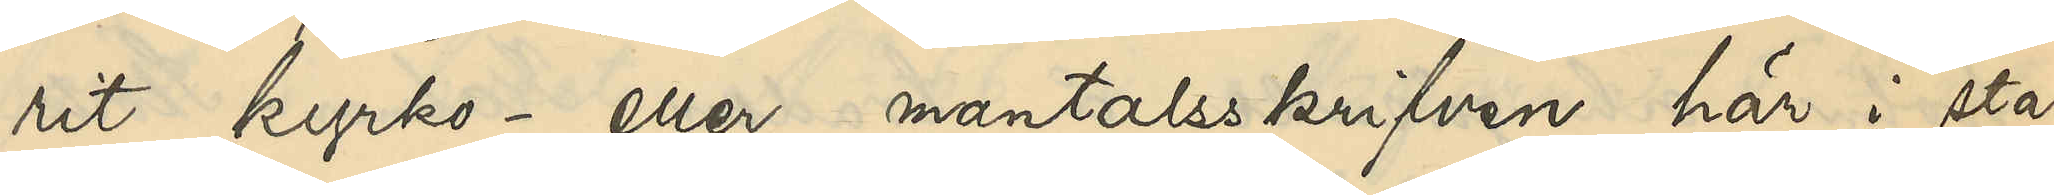rit kyrko- eller mantalsskrifven här i sta¬
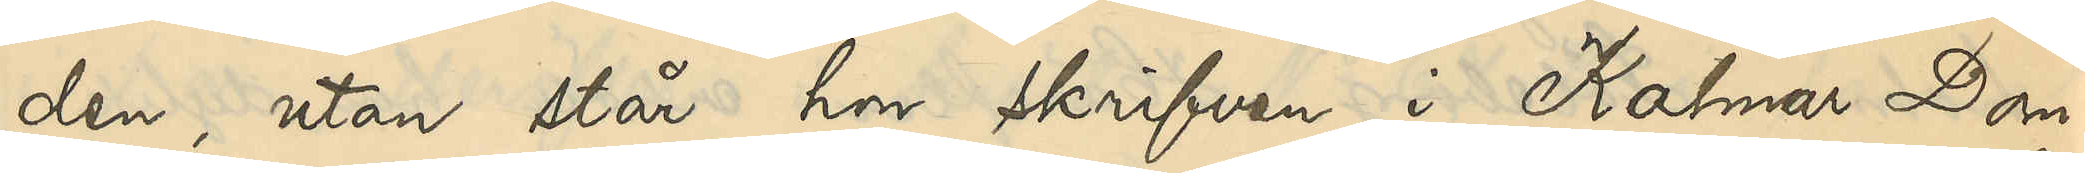den, utan står hon skrifven i Kalmar Dom¬
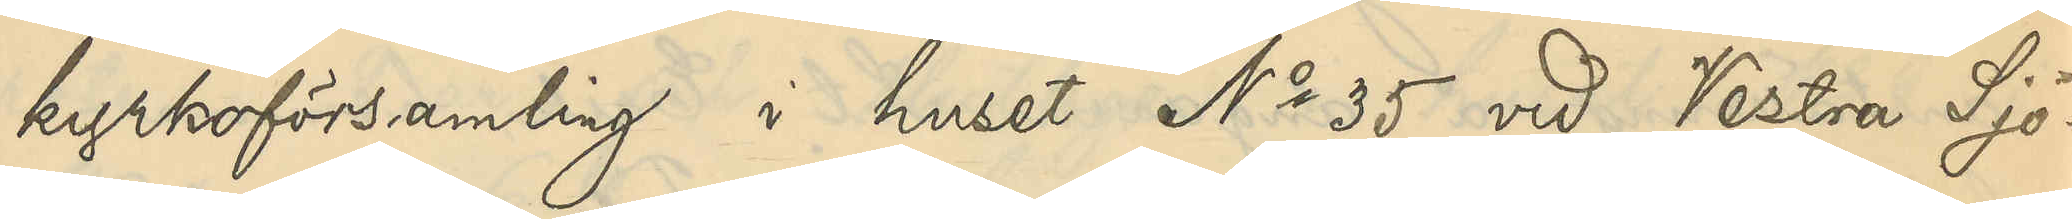kyrkoförsamling i huset No 35 vid Vestra Sjö¬
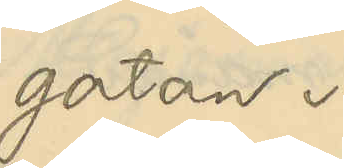gatan.
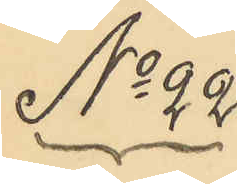No 22
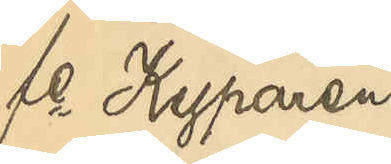fe Kyparen
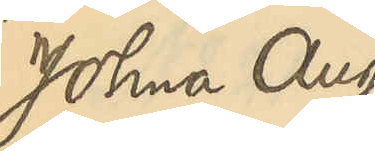Johna Aug.
